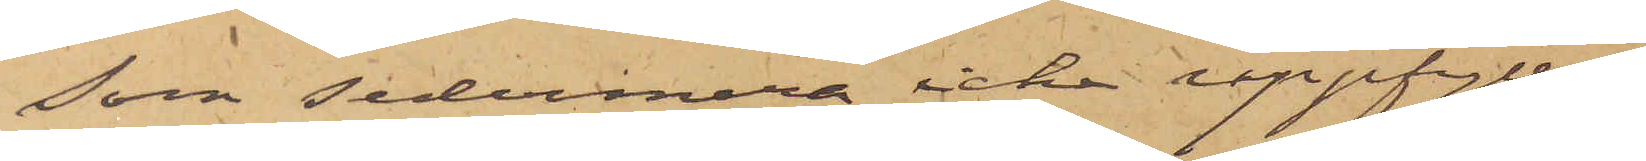som sedermera icke uppfyllas,
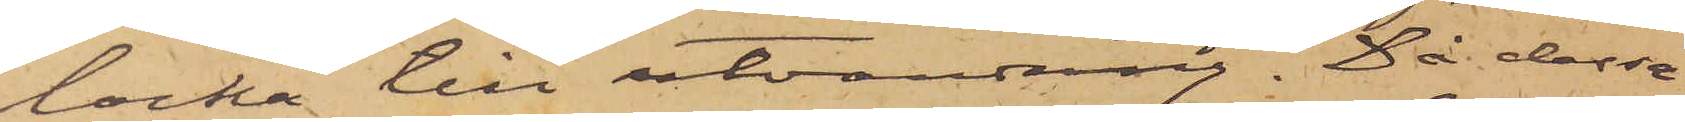locka till utvandring. Då dessa
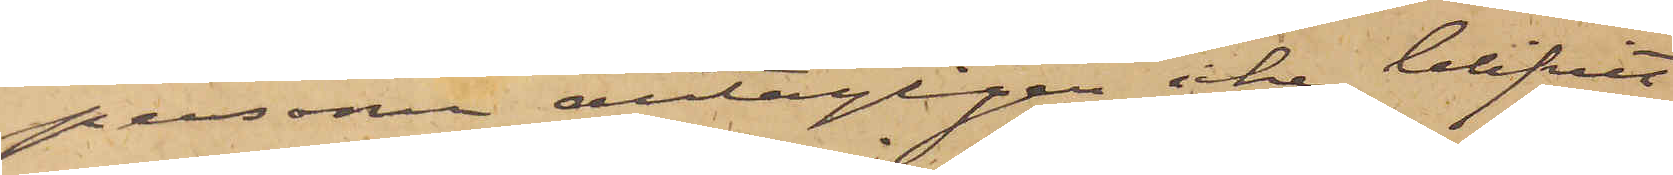personer antagligen icke blifvit
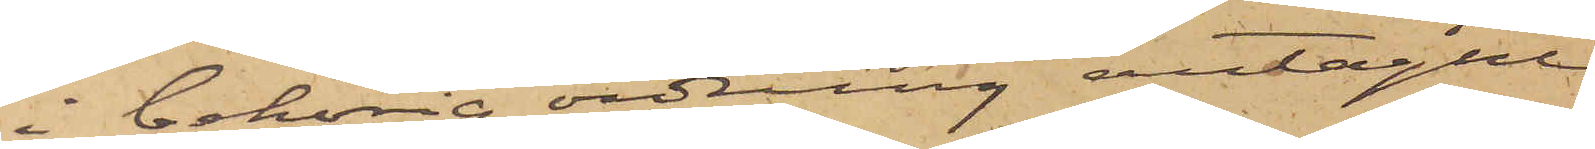i behörig ordning antagne
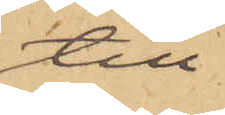till
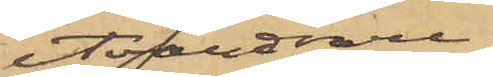utvandrare¬
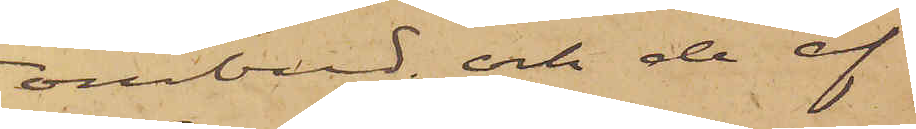ombud; och de af
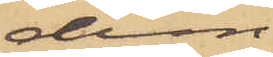dem
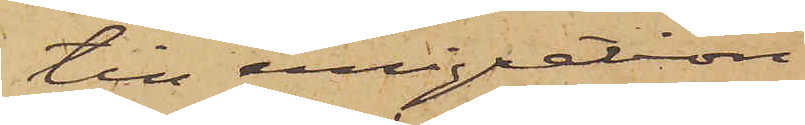till emigration
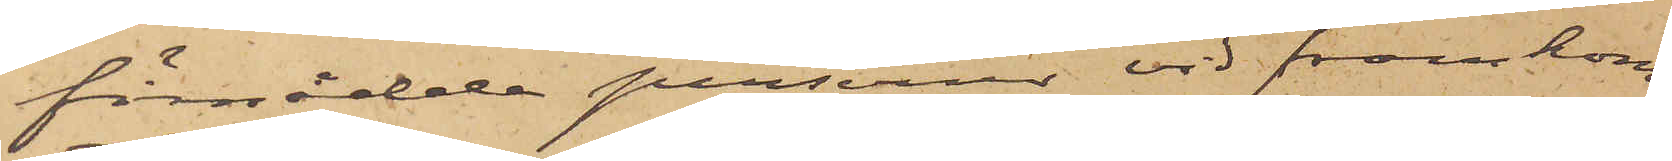förmådde personer vid framkom¬
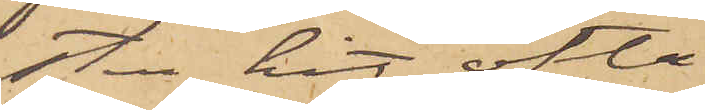sten hit ofta
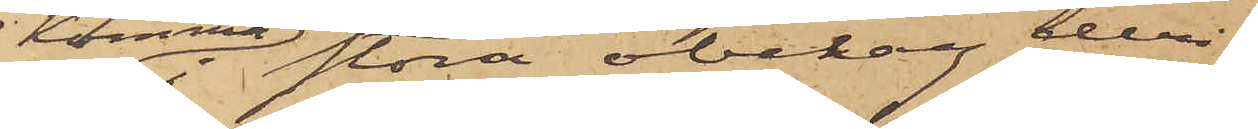komma i stora obehag deri¬
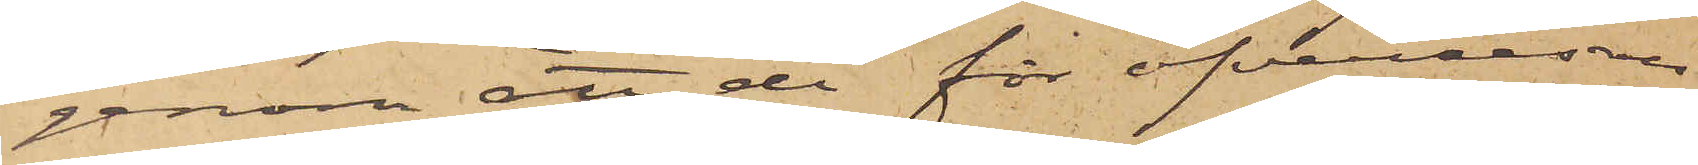genom att de för öfverresan
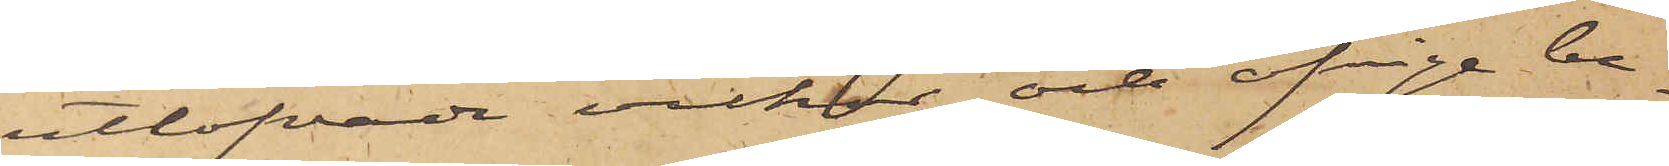utlofvade vilkor och öfriga be¬
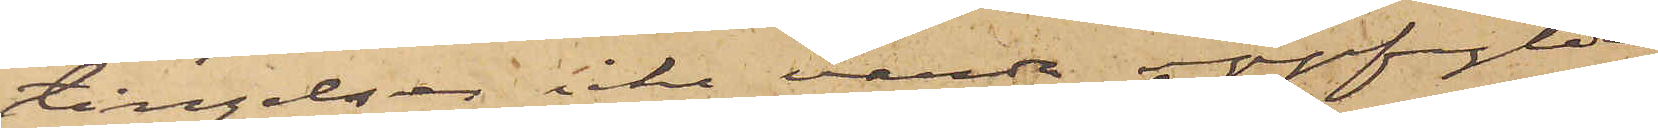tingelser icke varda uppfylda,
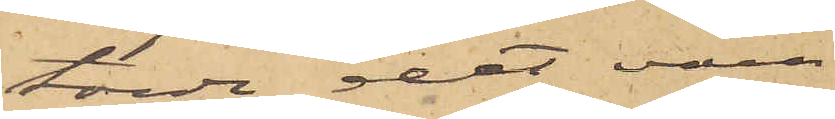torde det vara
